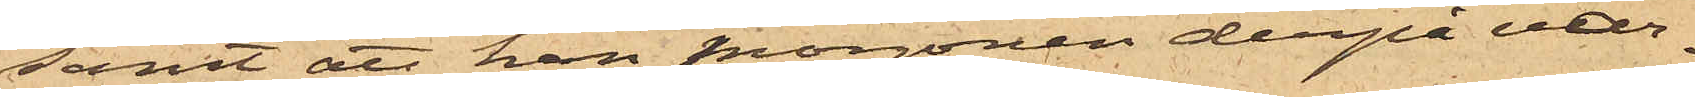samt att han morgonen derpå var¬
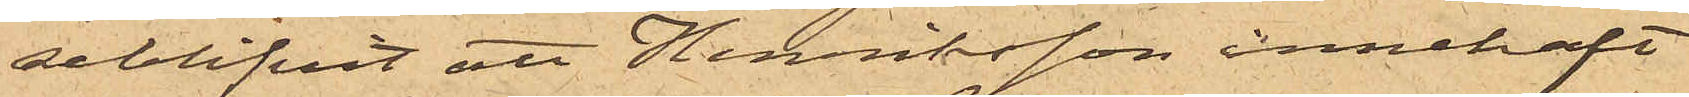seblifvit att Henriksson innehaft
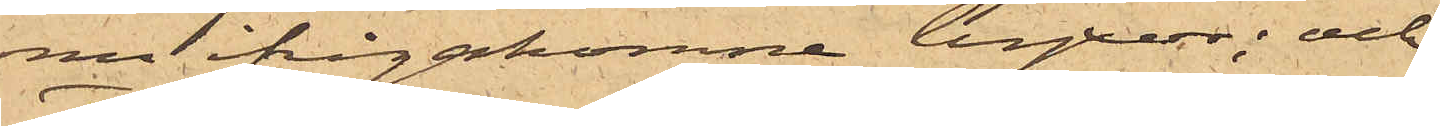nu ifrågakomne byxor; och
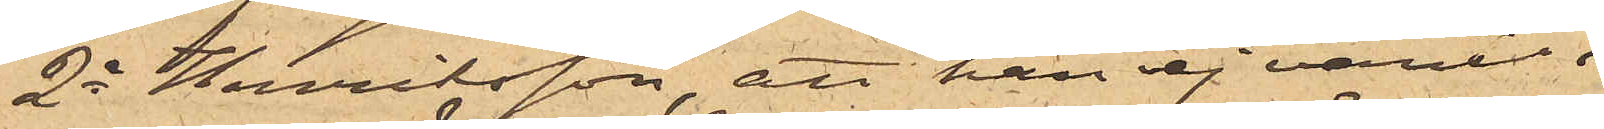2o Henriksson, att han ej varit i
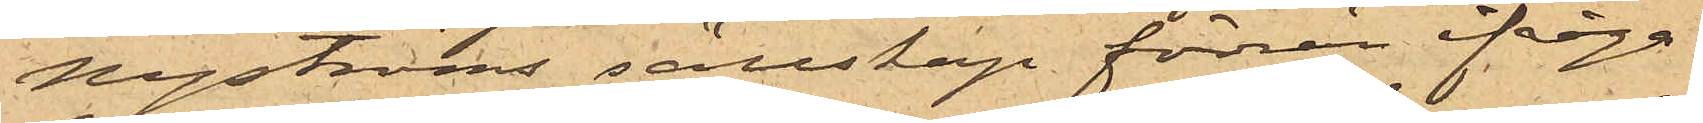Nyströms sällskap förrän ifråga¬
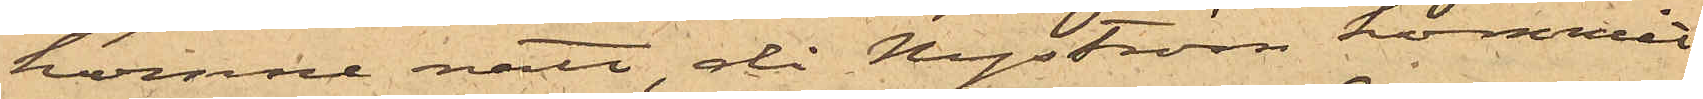komne natt, då Nyström kommit
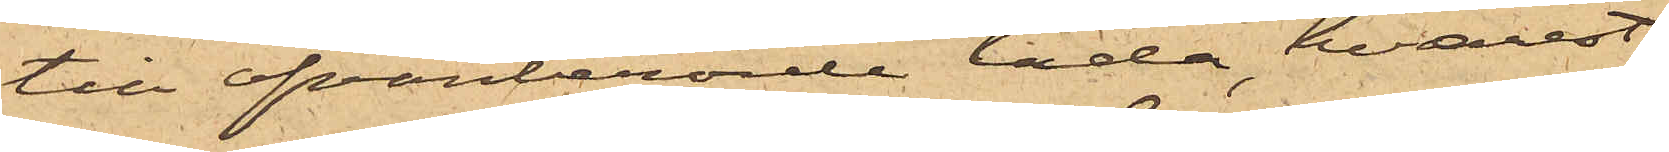till ofvanbenämde lada, hvarest
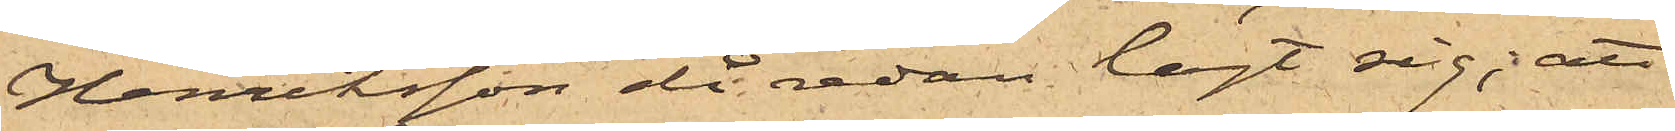Henriksson då redan lagt sig; att
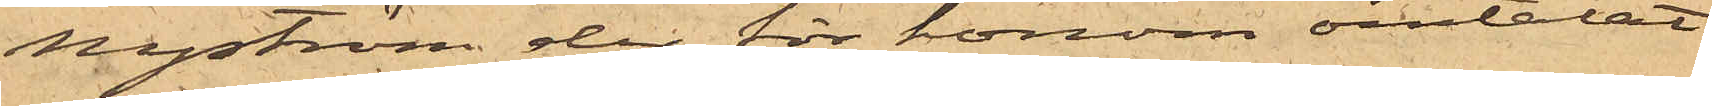Nyström der för honom omtalat
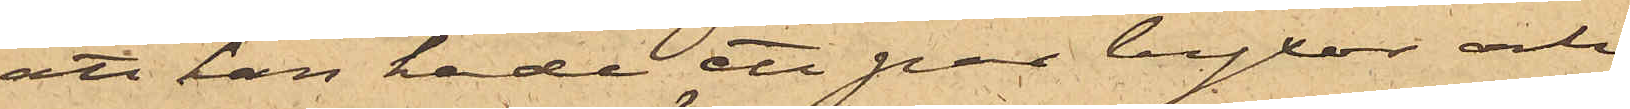att han hade ett par byxor och
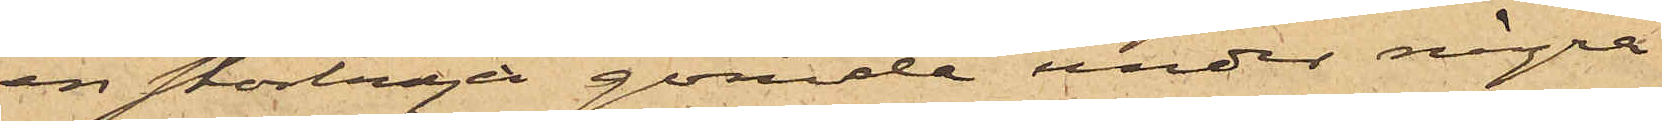en stortröja gömde under några
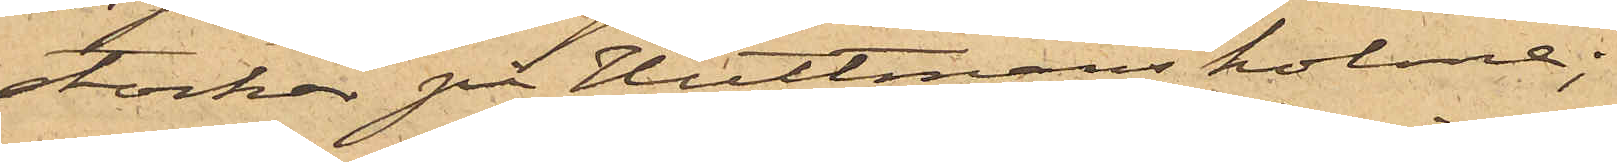stockar på Hultmans holme;
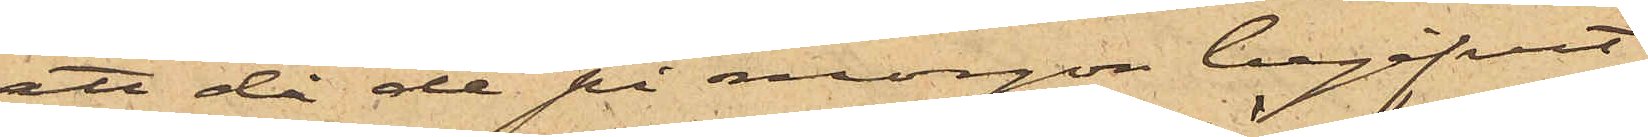att då de på morgon begifvit
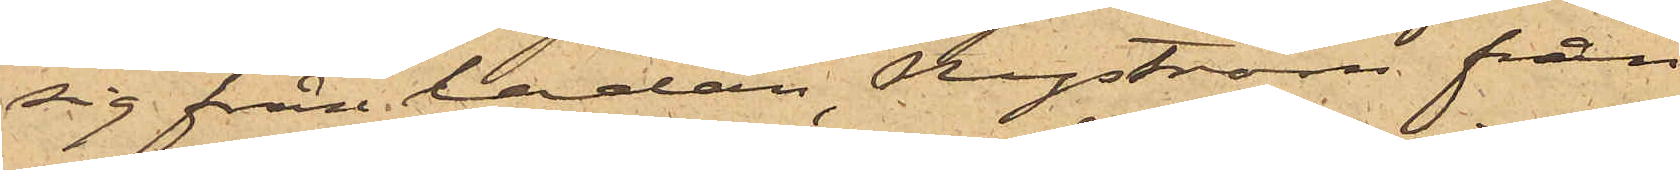sig från ladan, Nyström från
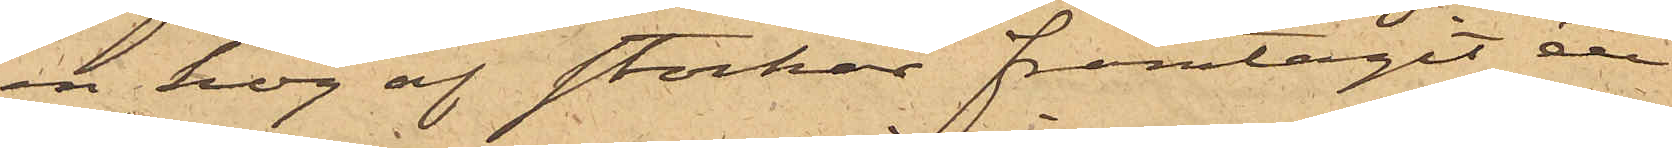en hög af stockar framtagit ett
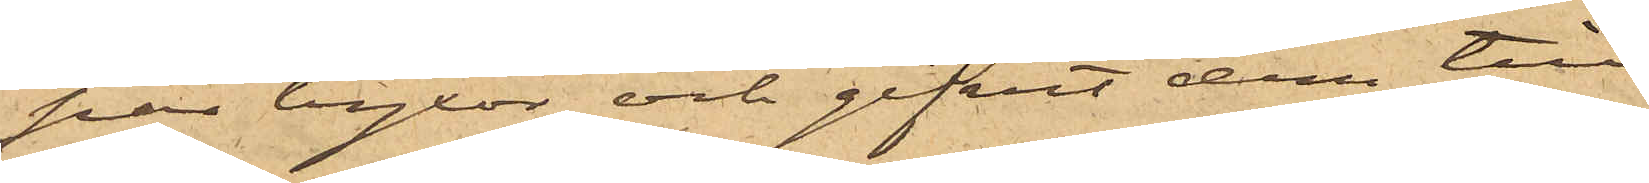par byxor och gifvit dem till
